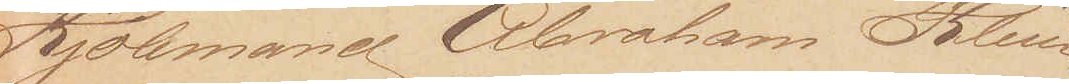Kjøbmand Abraham Klein
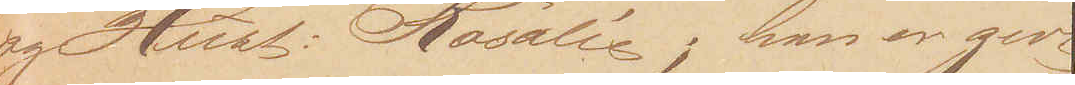og Hust: Rosalie; han er givt
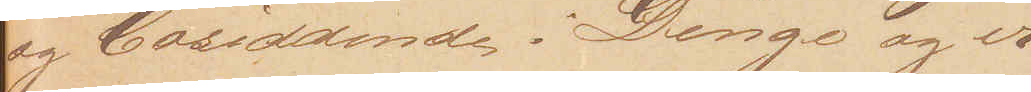og bosiddende i Dinge og er¬
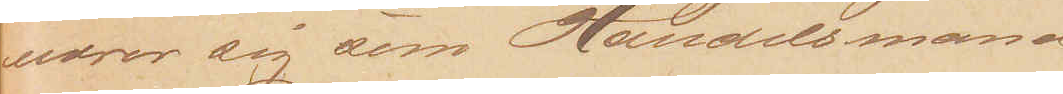nærer sig som Handelsmand
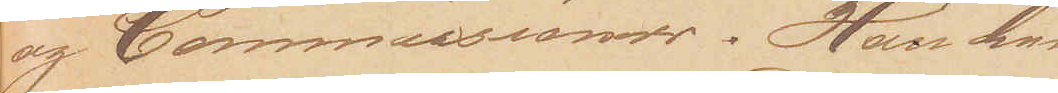og Commissionær. Han har
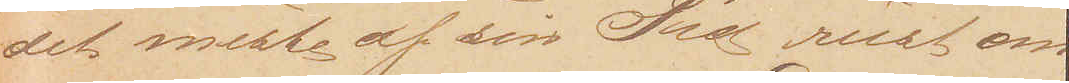det meste af sin Tid reist om¬
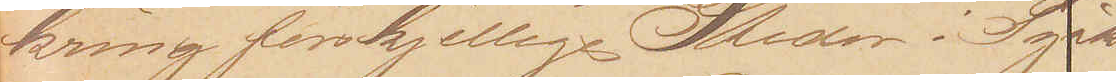kring forskjellige Steder i Tysk¬
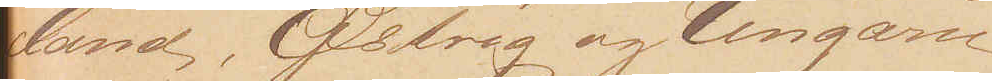land, Østrig og Ungarn
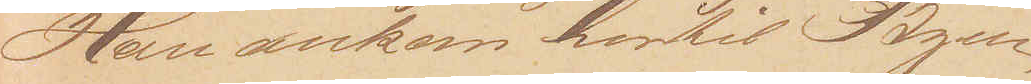Han ankom hertil Byen
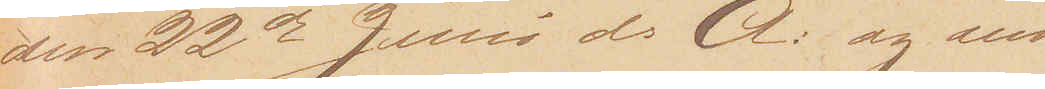den 22de Juni d: A: og ind¬
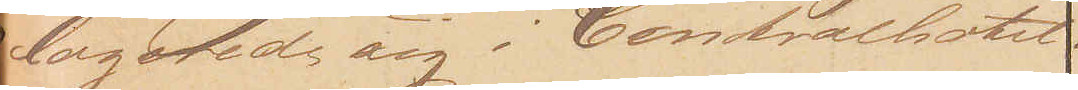logerede sig i Centralhotel¬
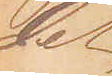let
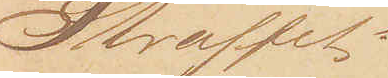Straffet:
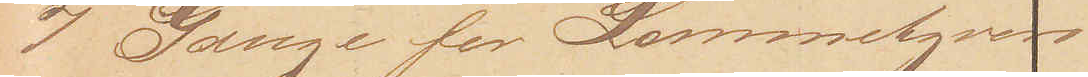7 Gange for Lommetyveri
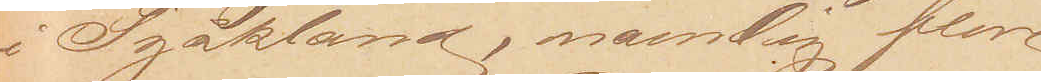i Tyskland, navnlig flere
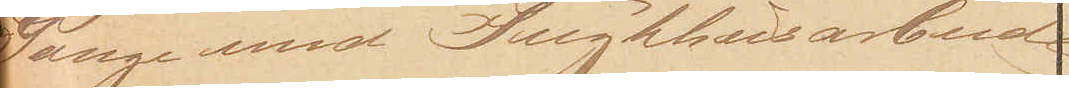Gange med Tugthusarbeide
